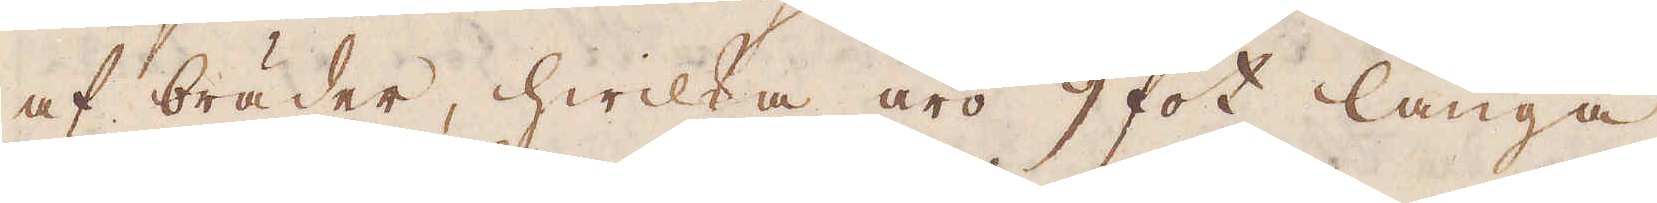af bräder, hwilka äro 9 fot långa,
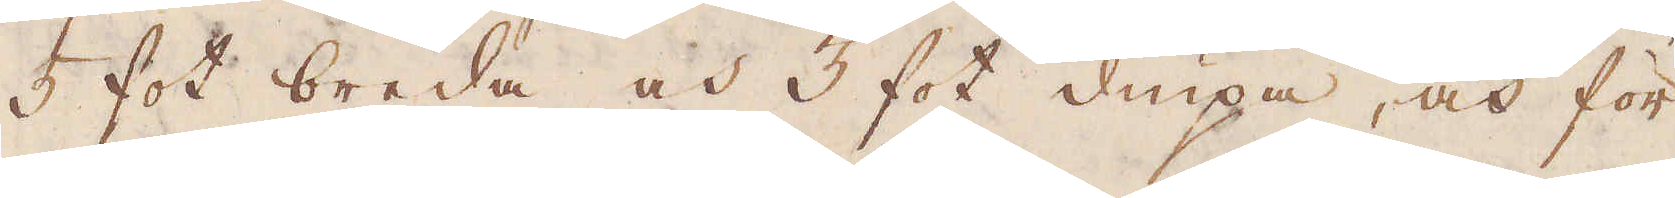5 fot breda och 3 fot diupa, och för
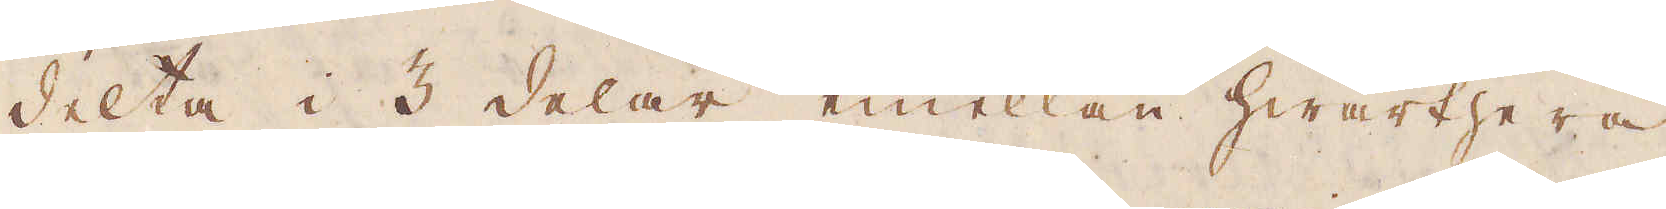delta i 3 delar, emellan hwarthera
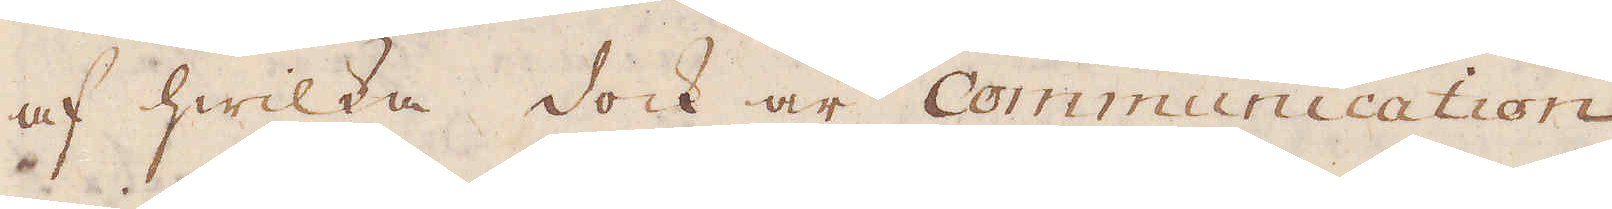af hwilka dock är Communication
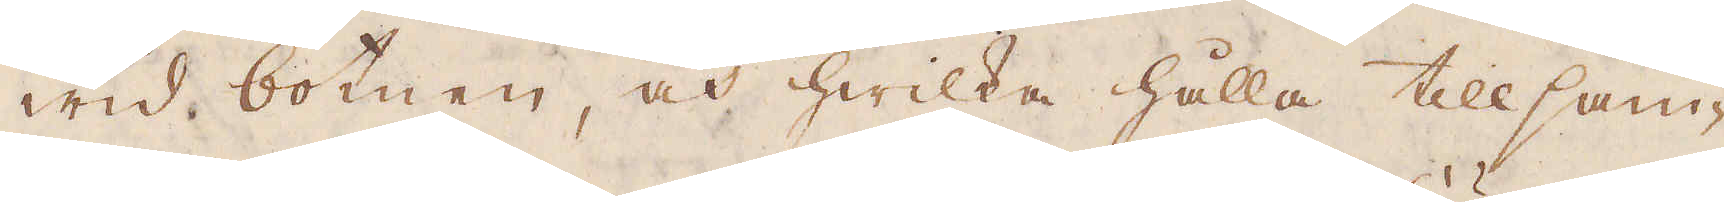wid botnen, och hwilka hålla tillsam-
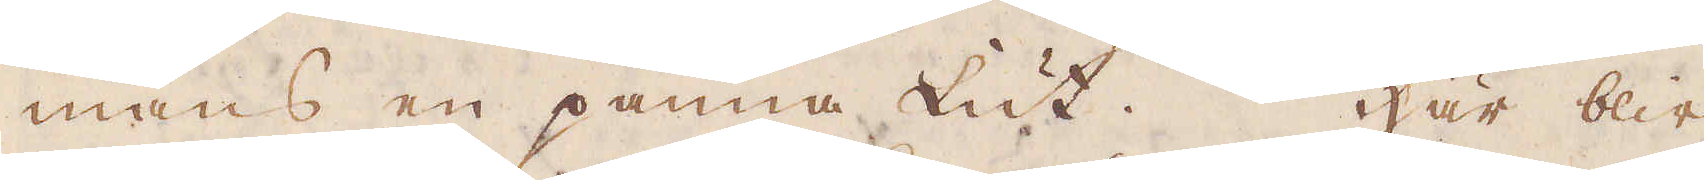mans en panna Lut. Här blir
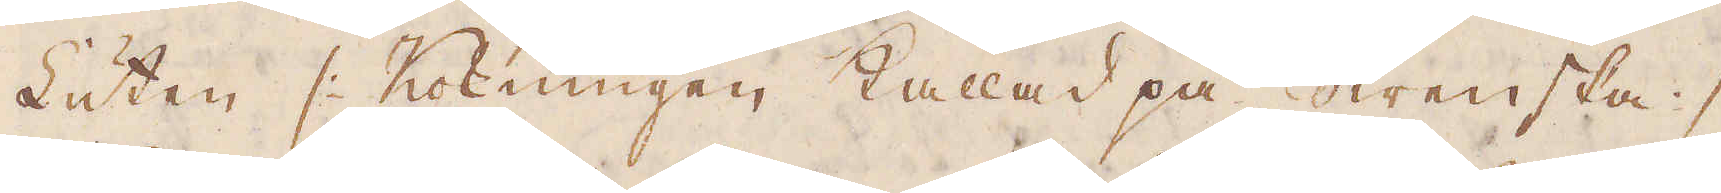Luten /: Kokningen kallad på Swenska :/
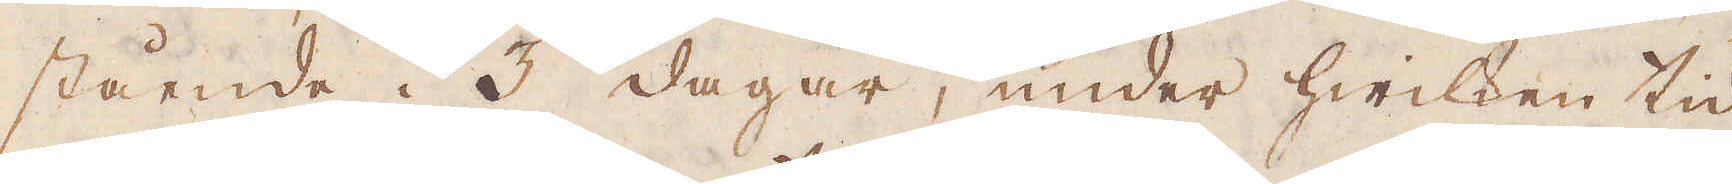stående i 3 dagar, under hwilken tid
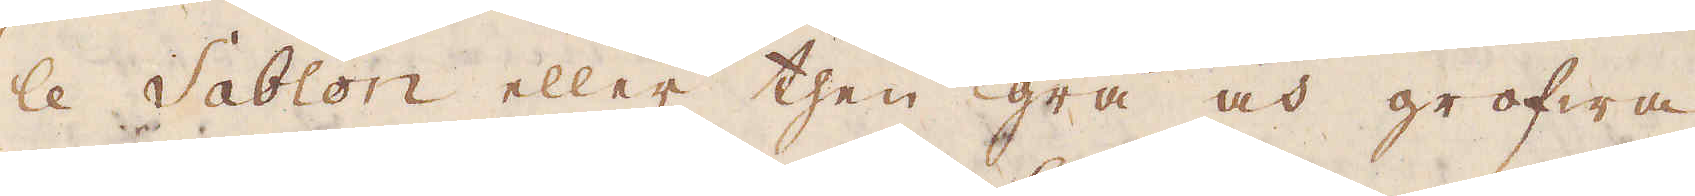le Sablon eller then grå och grofwa
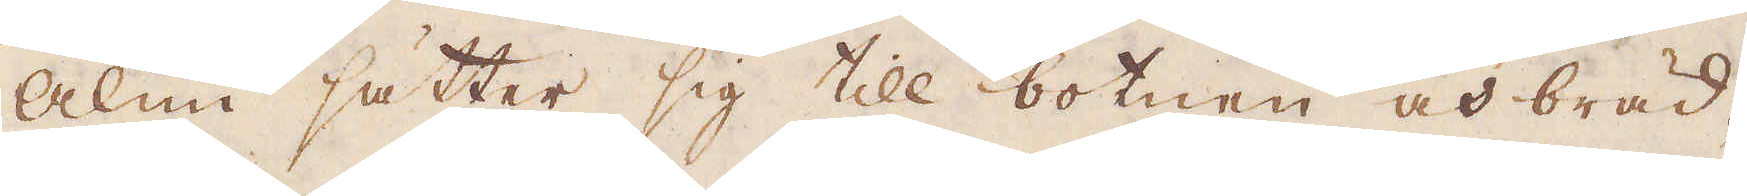Alun sätter sig till botnen och bräd-
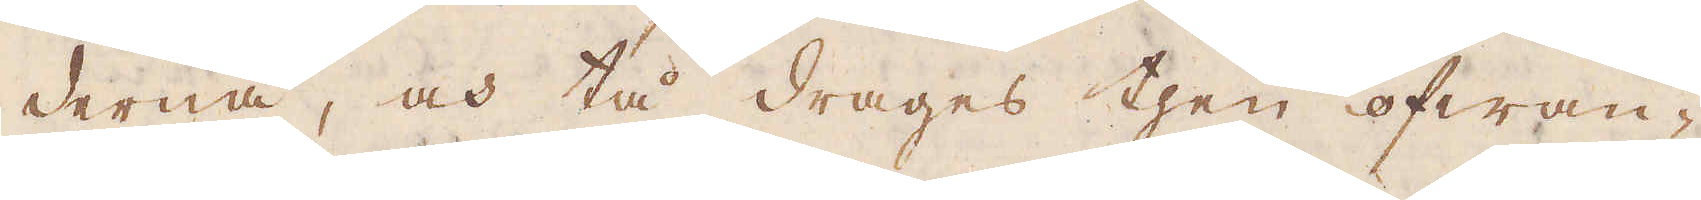derna, och tå drages then ofwan-
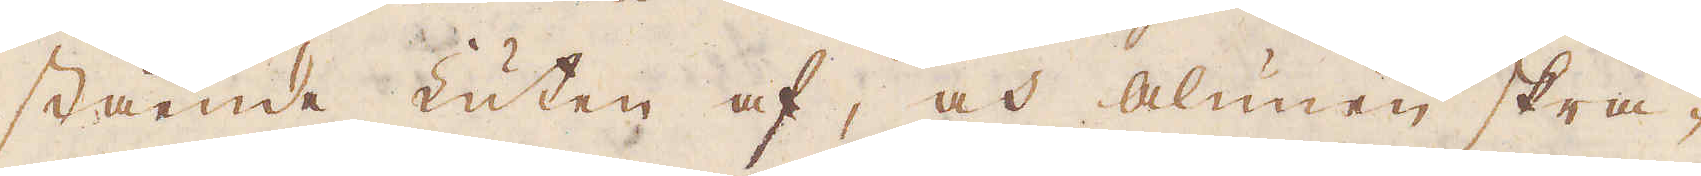stående Luten af, och Alunen skra-
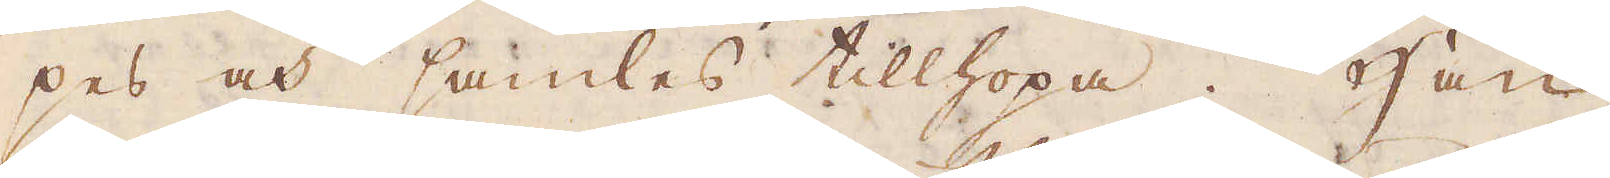pes och samles tillhopa. Han
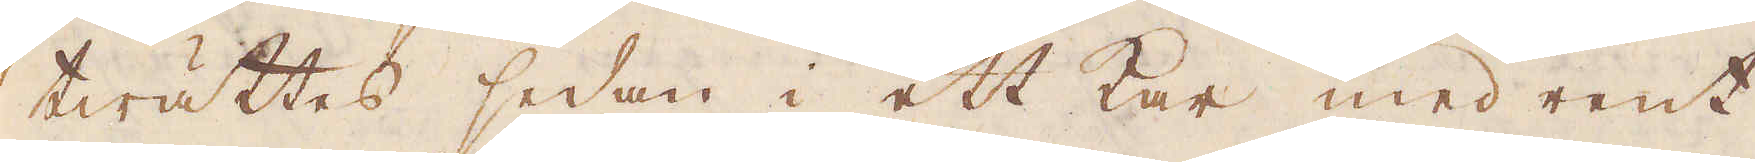twättes sedan i ett kar med rent
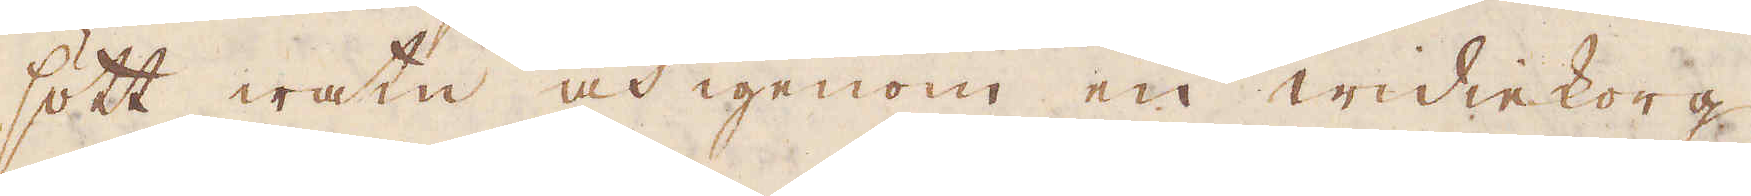sött watn och igenom en widiekorg,
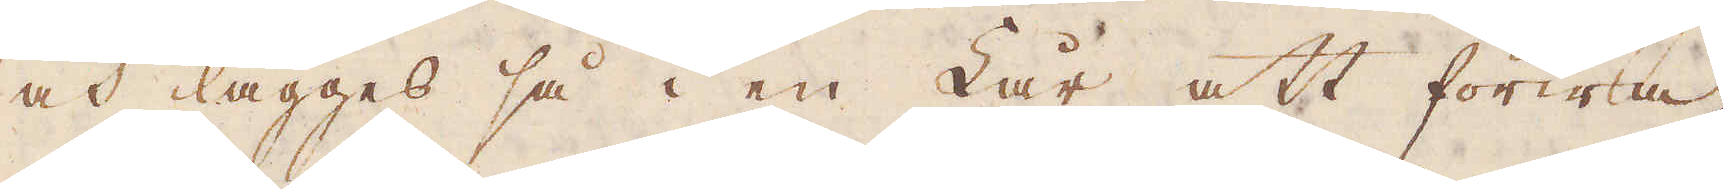och lägges så i en Lår att förwa-
